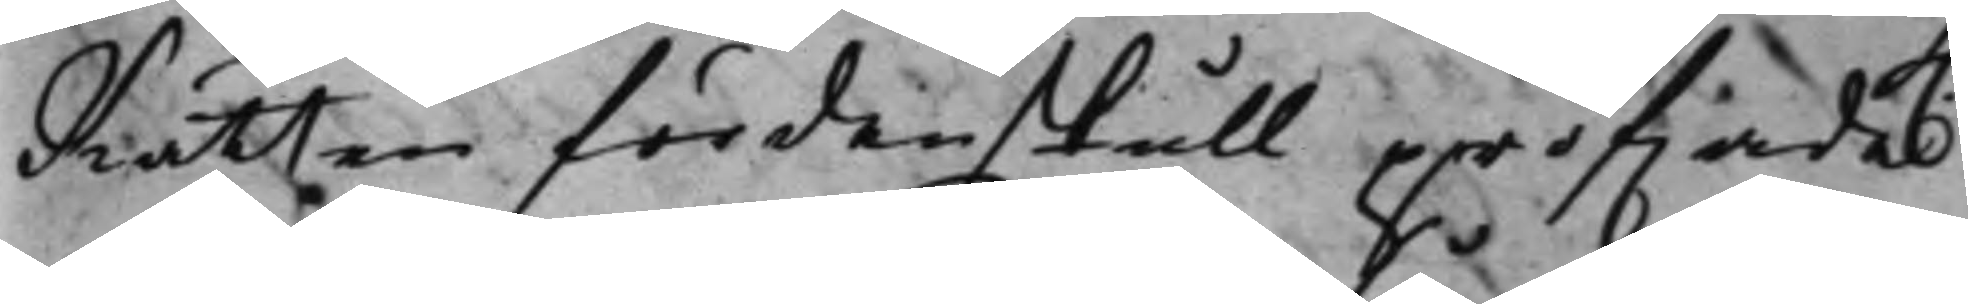Rätten fördenskull pröfwade
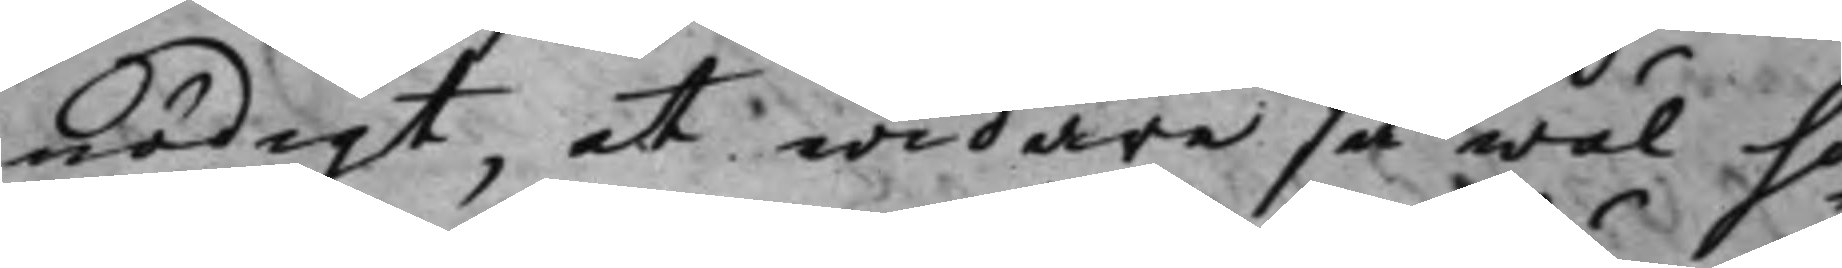nödigt at widare så wäl hö¬
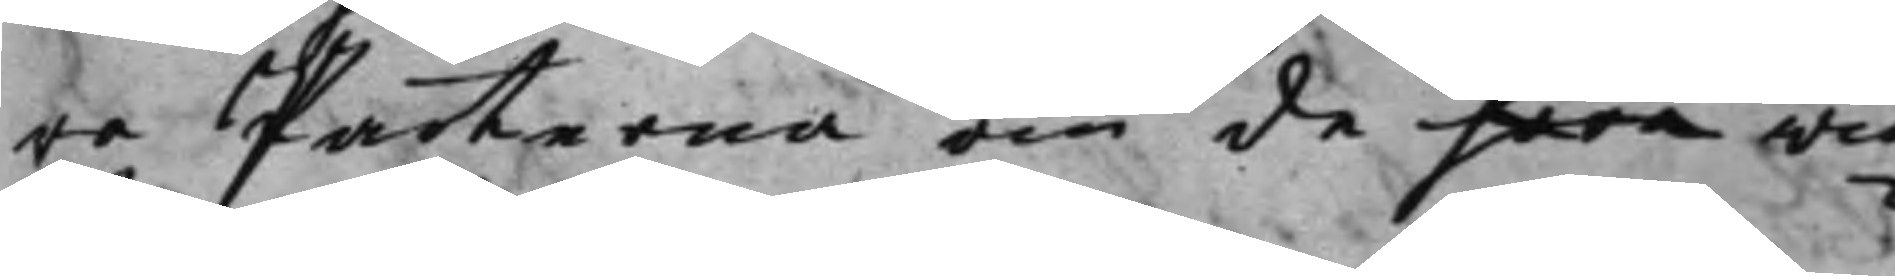ra Parterna om de häre wid¬
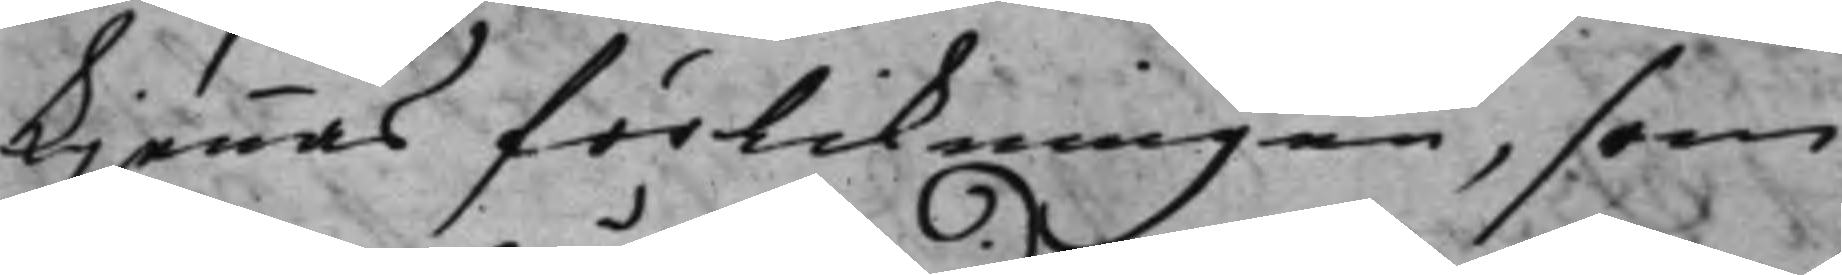kjennas förlikningen, som
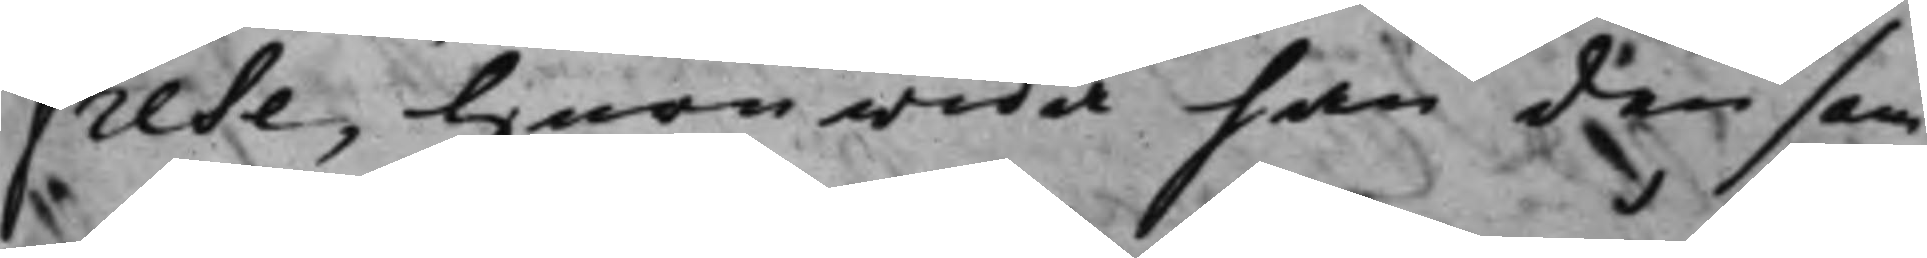Frese, huruwida han den sam¬
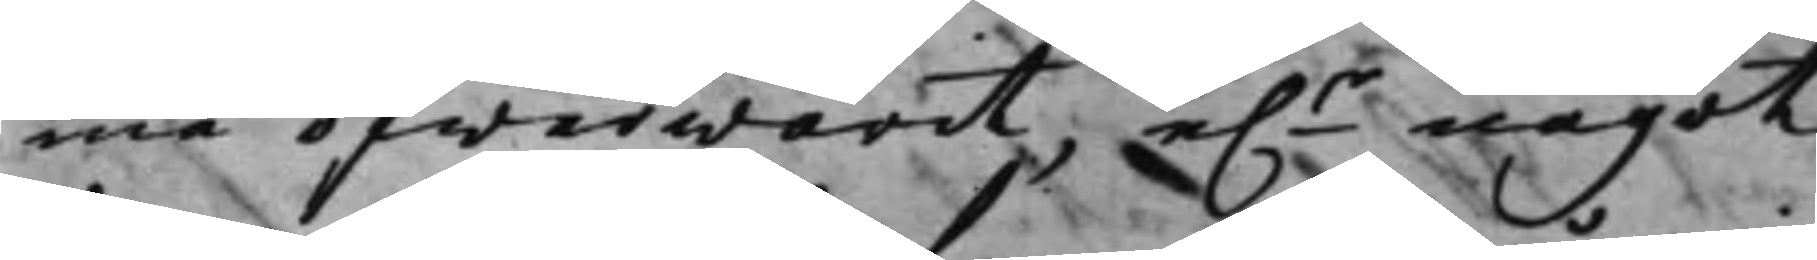ma öfwerwarit e.r något
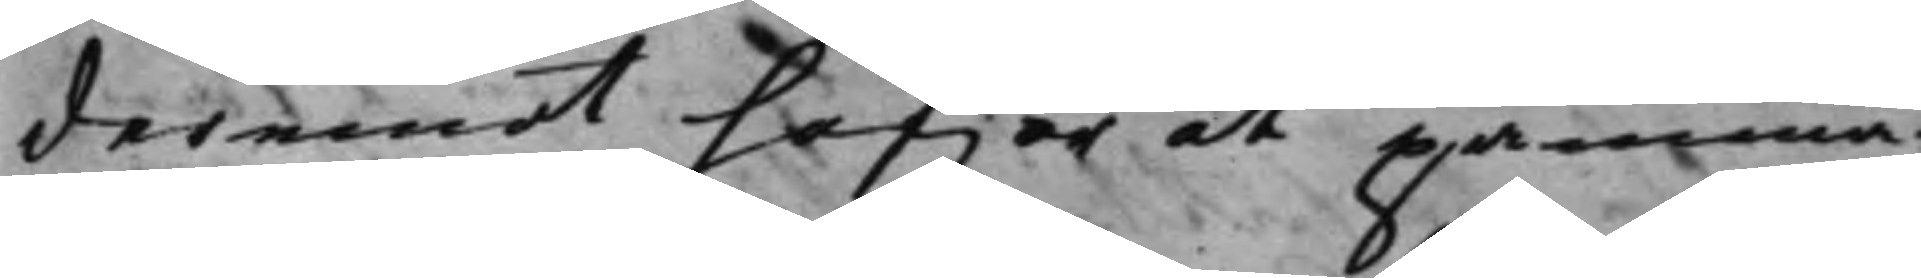deremot hafwer att påminna.
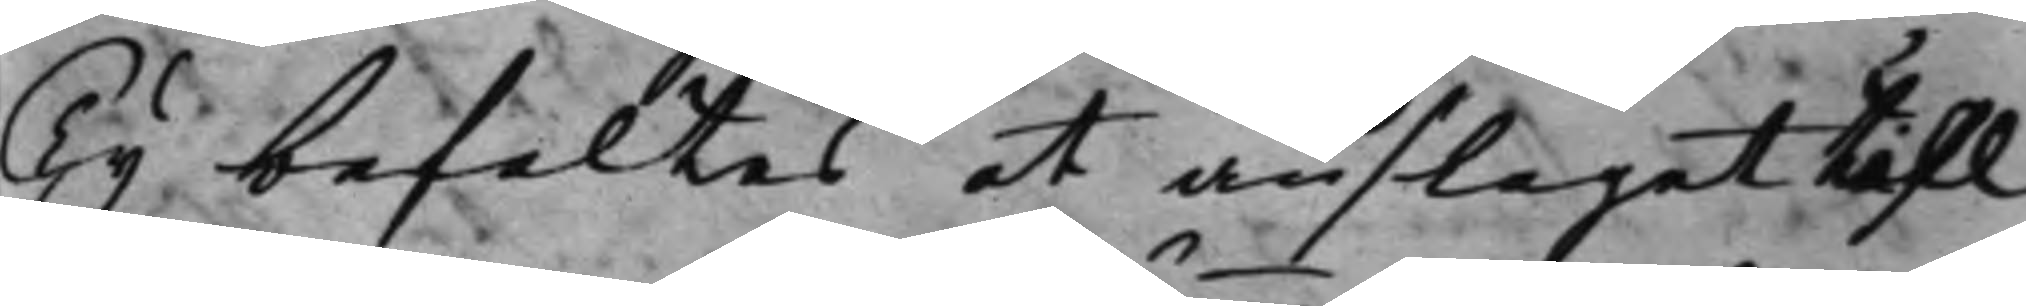Ty befaltes at anslaget till
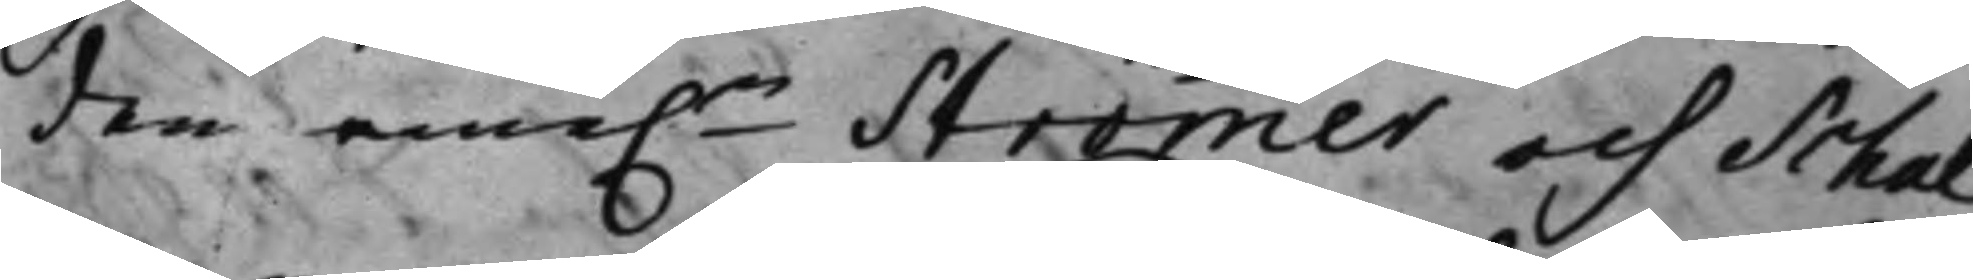den eme.n Strömmer och Schal¬
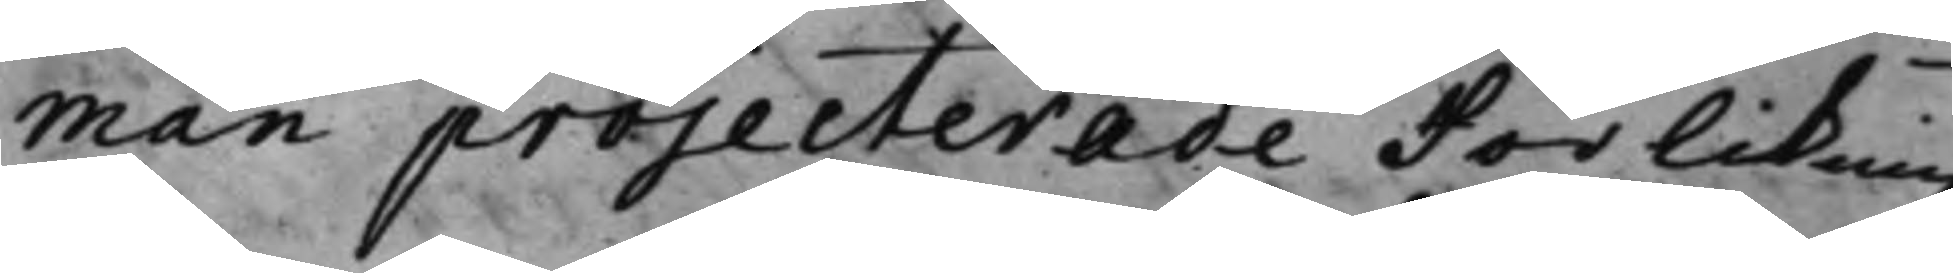man projecterade Förlikingz¬
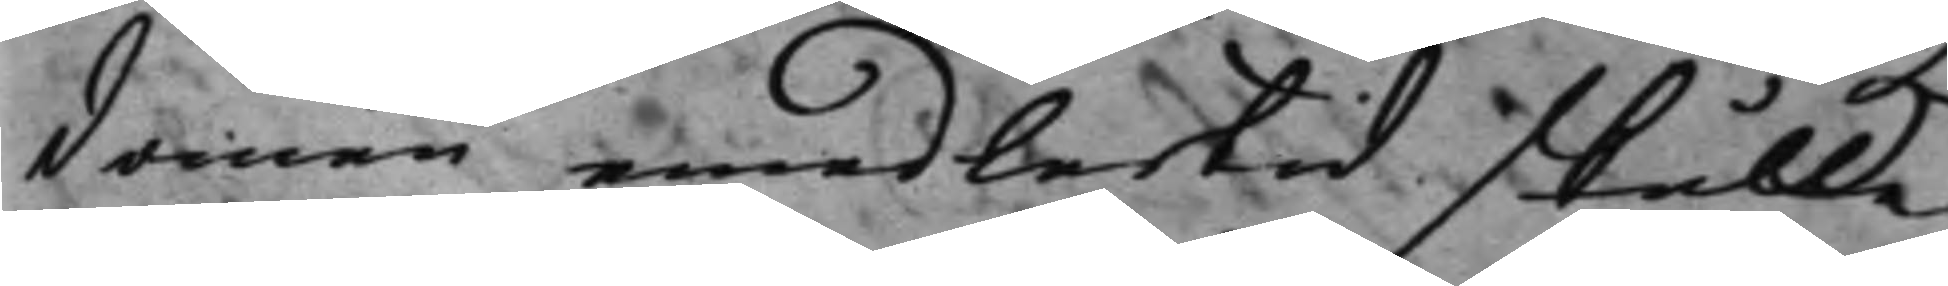domen, emedlertid skulle
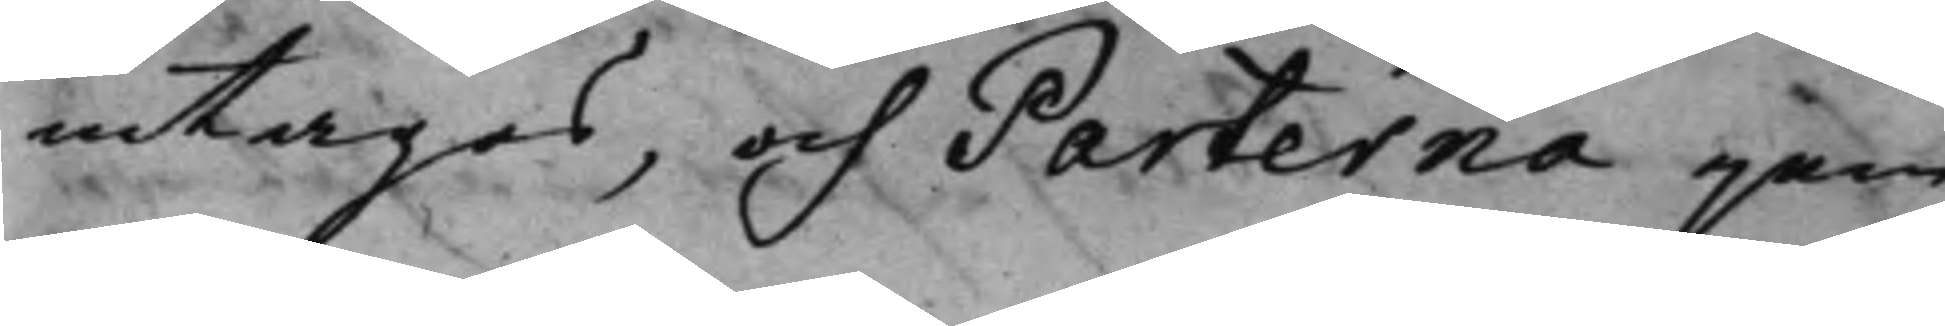intagas, och Parterna jäm¬
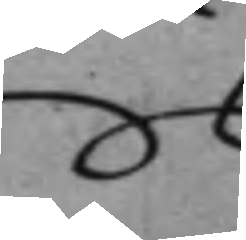te
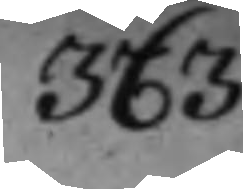363.
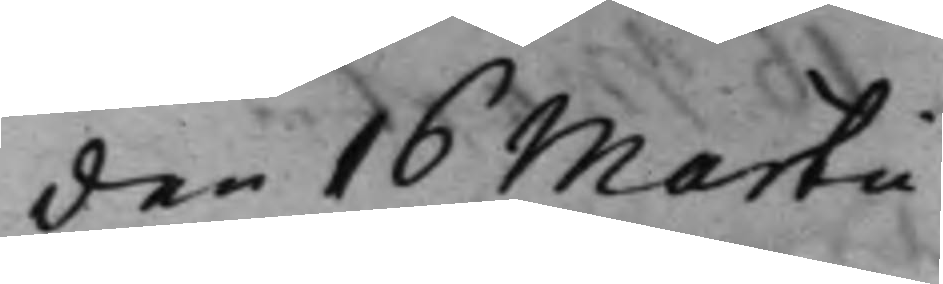den 16 Martii
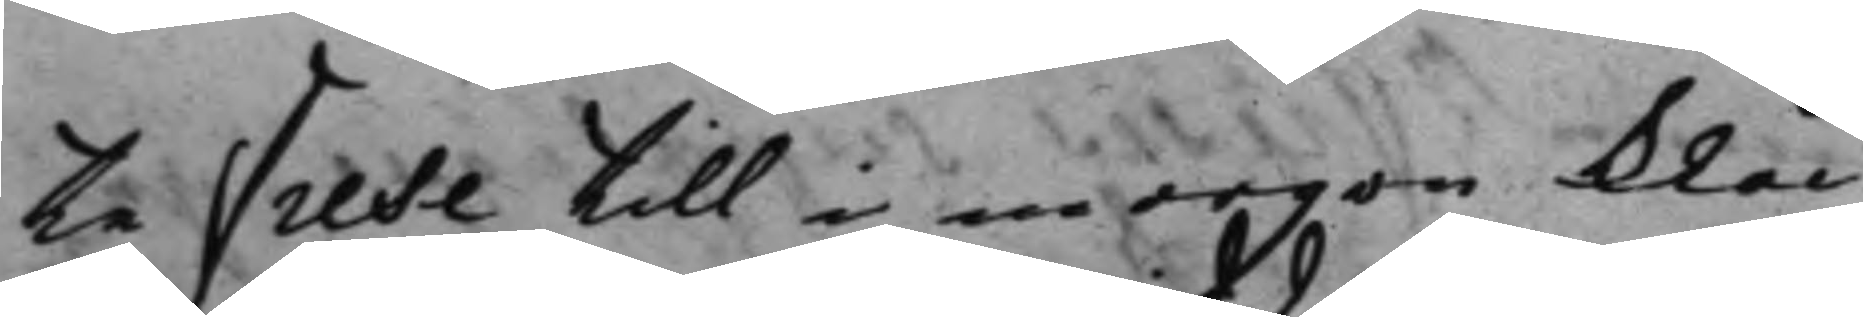te Frese till i morgon klåc¬
